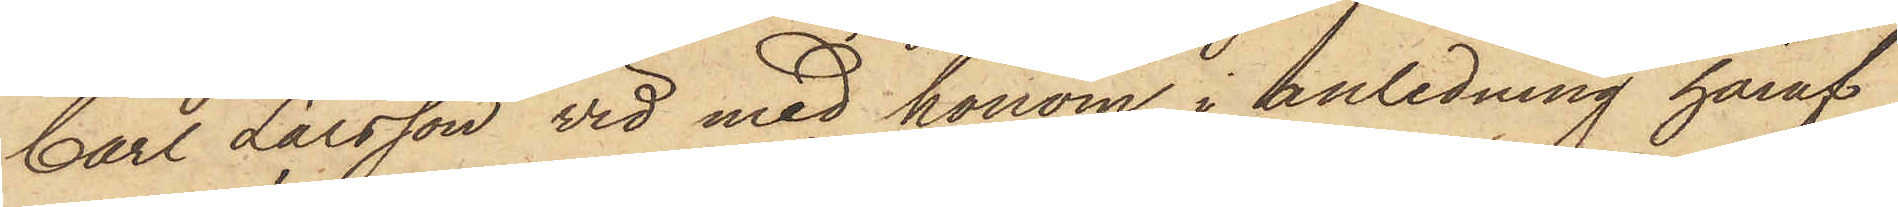Carl Larsson vid med honom i anledning häraf
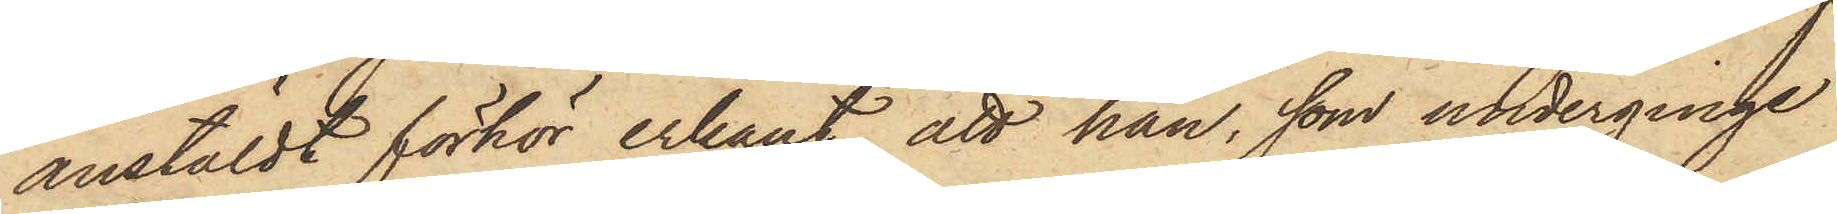anstäldt förhör erkänt, att han, som underginge
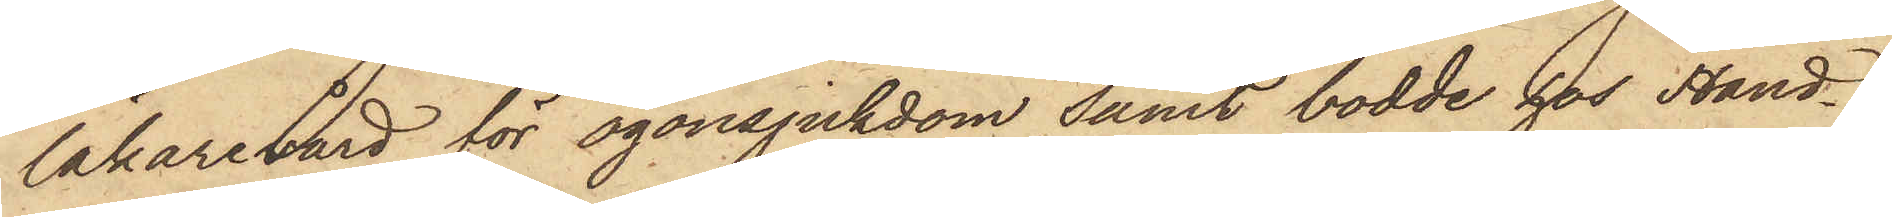läkarevård för ögonsjukdom samt bodde hos Hand¬
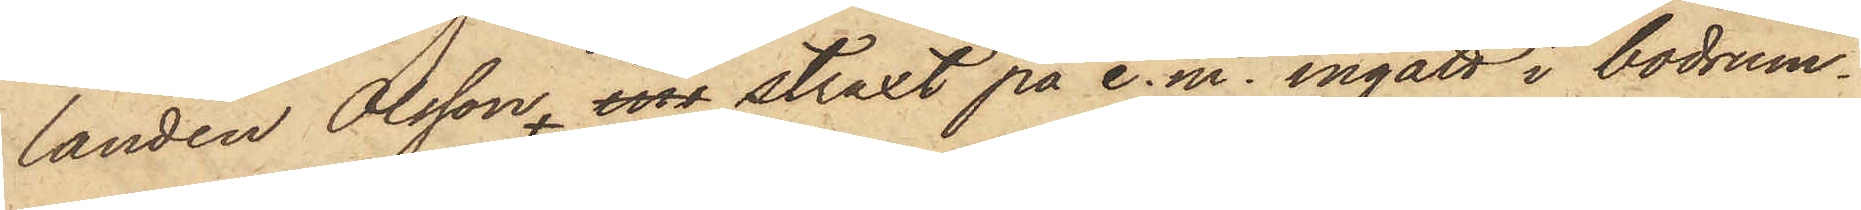landen Olsson, ins straxt på e.m. ingått i bodrum¬
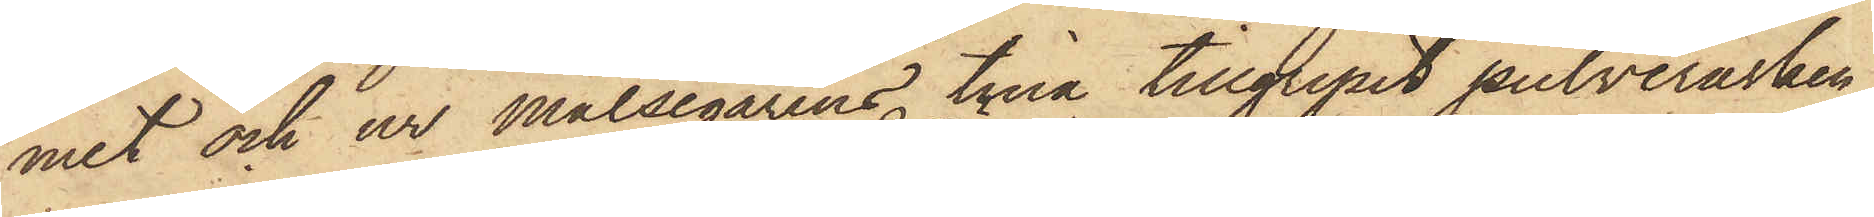met och ur Målsegarens tina tillgripit pulverasken
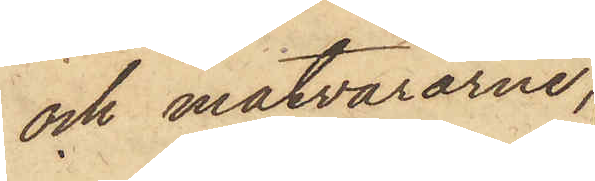och matvarorne,
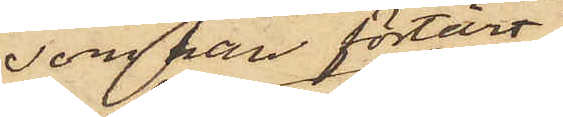som han förtärt
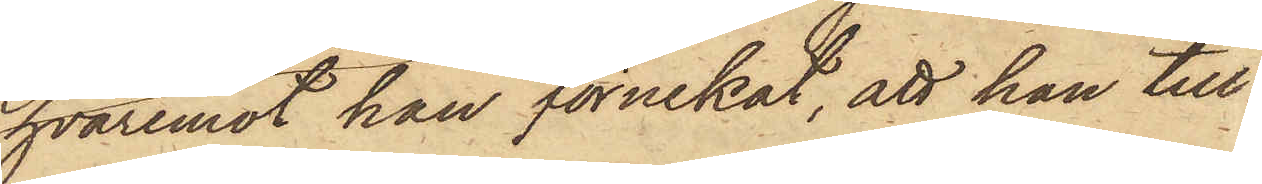hvaremot han förnekat, att han till¬
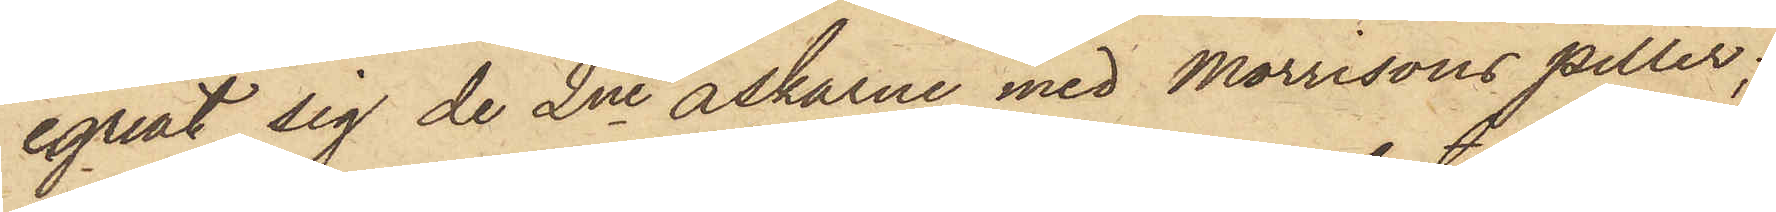egnat sig de 2ne askarne med Morrisons piller;
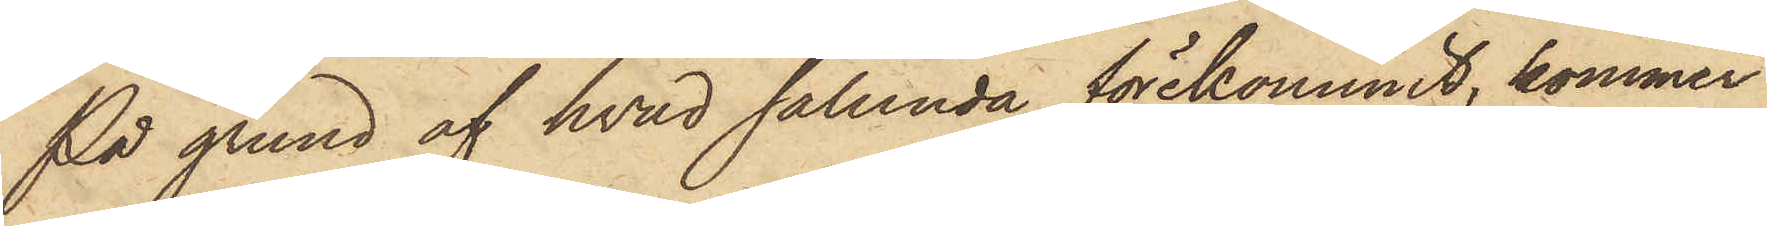På grund af hvad sålunda förekommit, kommer
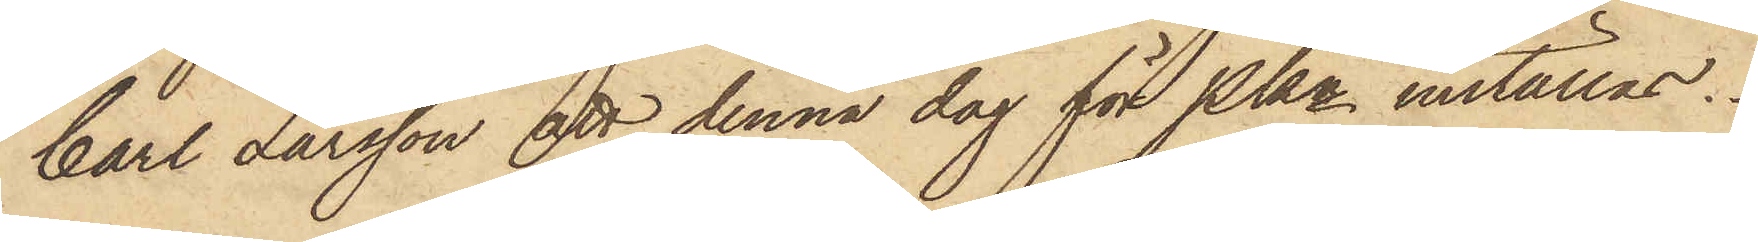Carl Larsson att denna dag för Pkn inställas.
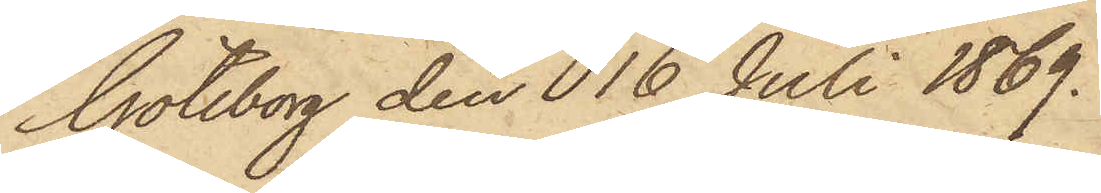Göteborg den 16 Juli 1869.
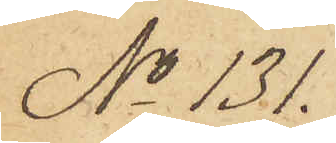No 131.
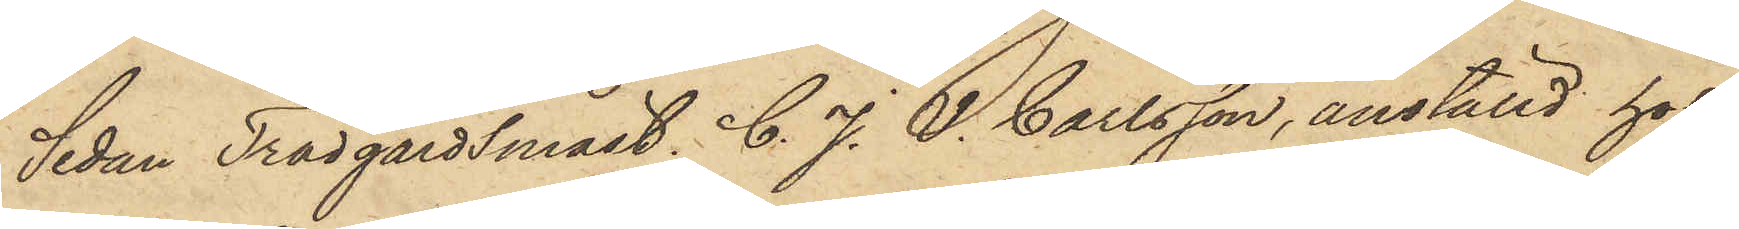Sedan Trädgårdsmäst. C. J. V. Carlsson, anställd hos
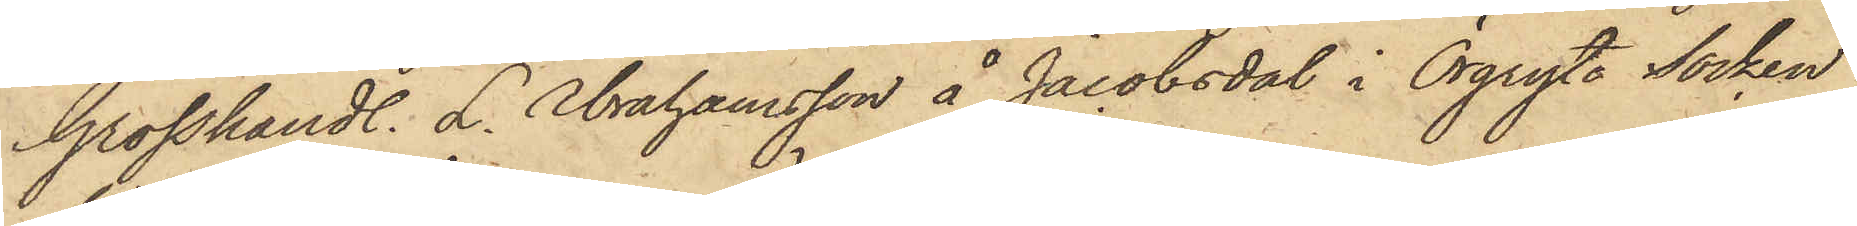Grosshandl. L. Abrahamsson å Jacobsdal i Örgryte Socken
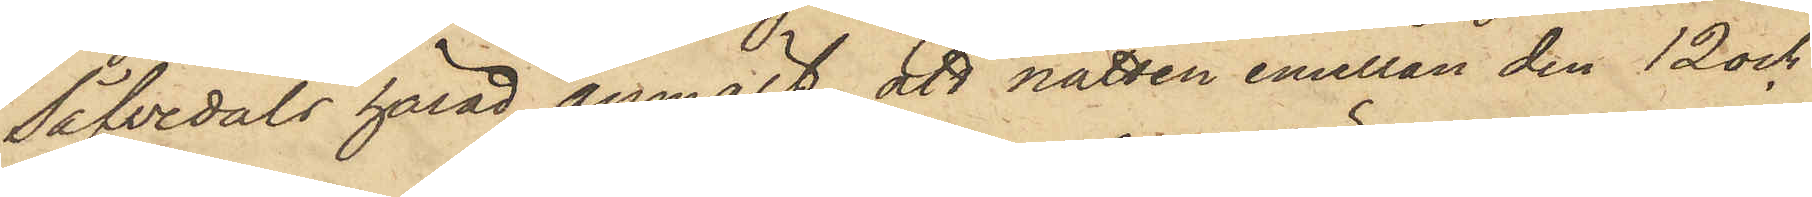Säfvedals härad, anmält, att natten emellan den 12 och
